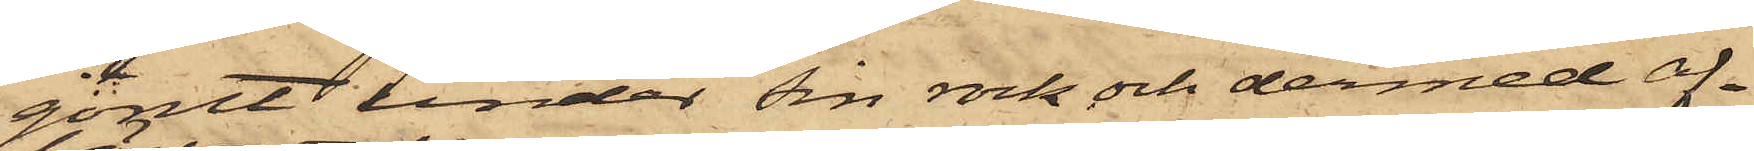gömt under sin rock och dermed af¬
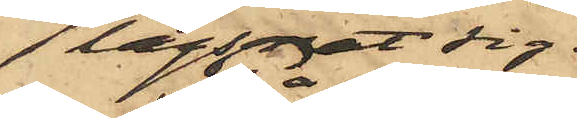lägsnat sig.
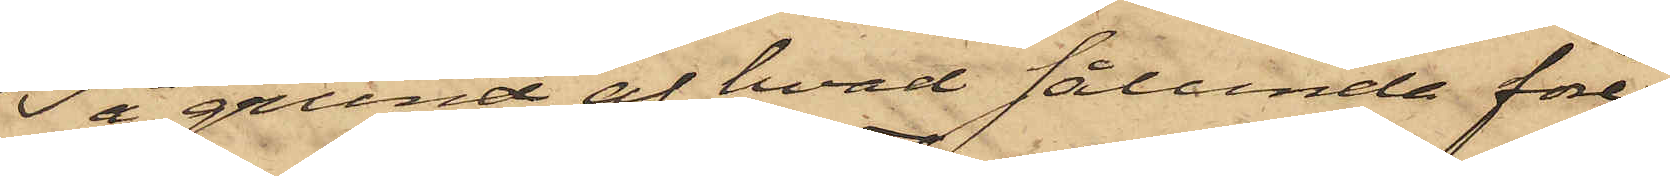På grund af hvad sålunda före¬
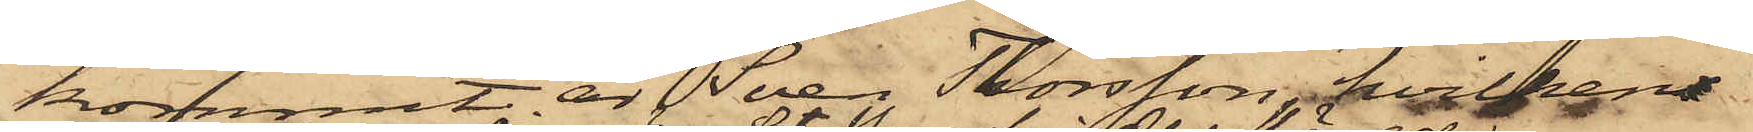kommit är Sven Thorsson, hvilken
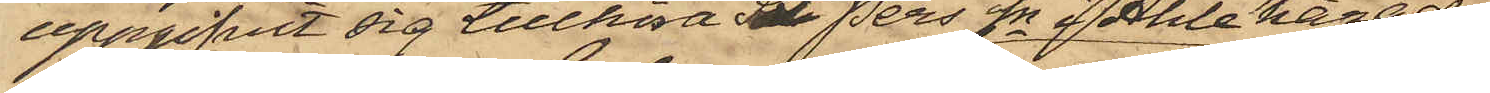uppgifvit sig tillhöra St Pers Sn i Ahle härad,
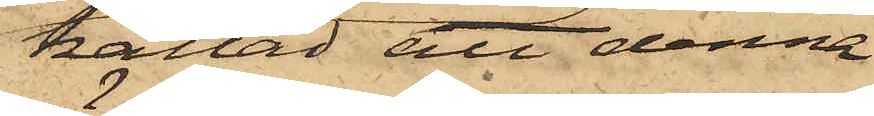kallad att denna
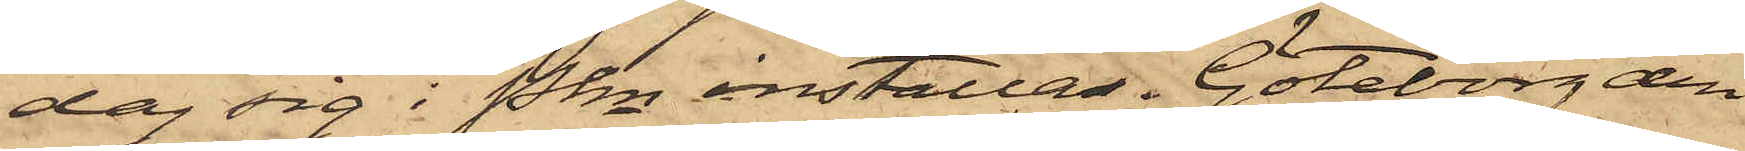dag sig i Pkn inställas. Göteborg den
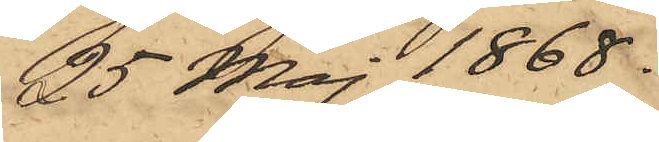25 Maj 1868.
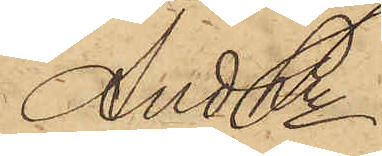And Ln
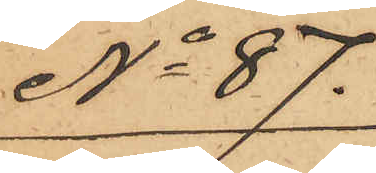No 87.
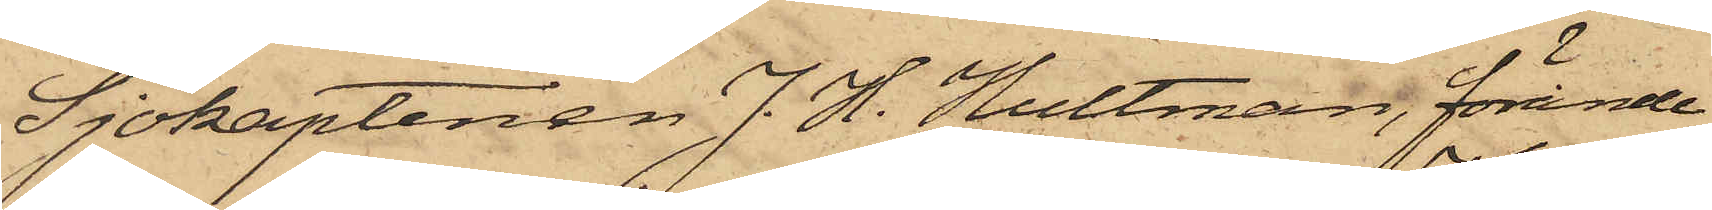Sjökaptenen J. H. Hultman, förande
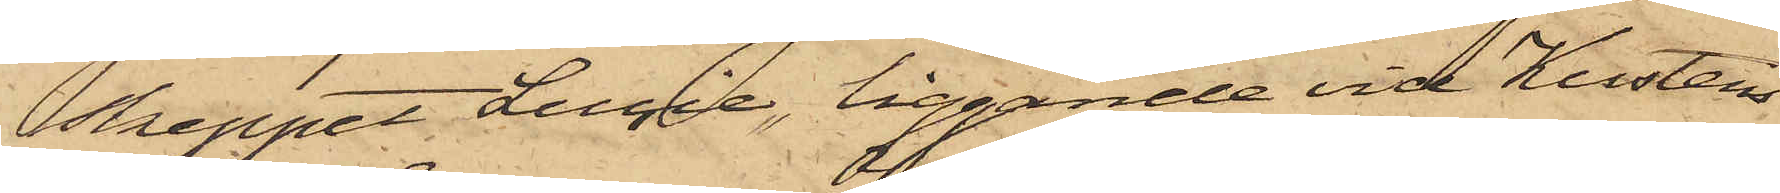skeppet Lucie, liggande vid Kustens
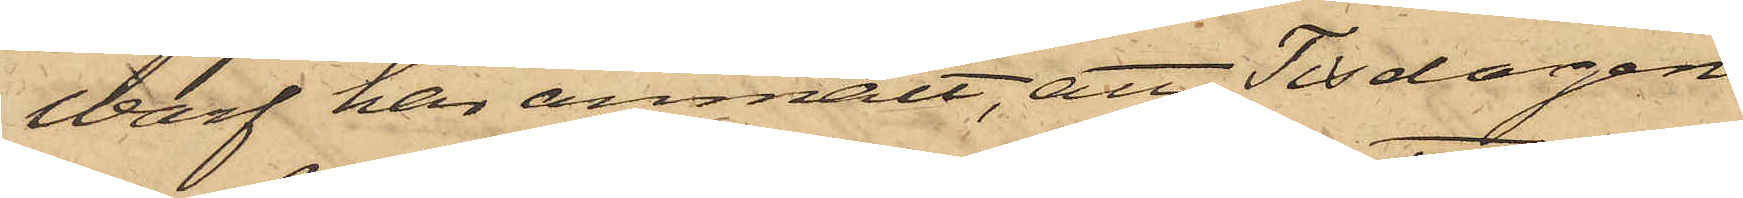Warf har anmält, att Tisdagen
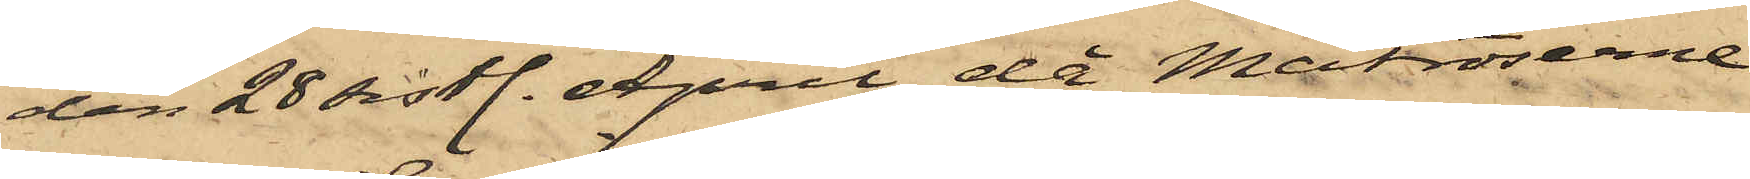den 28 sistl. April då Matroserne
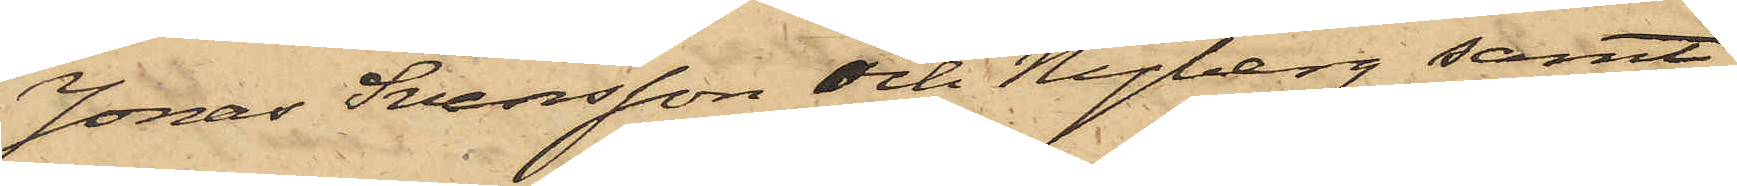Jonas Svensson och Nyberg samt
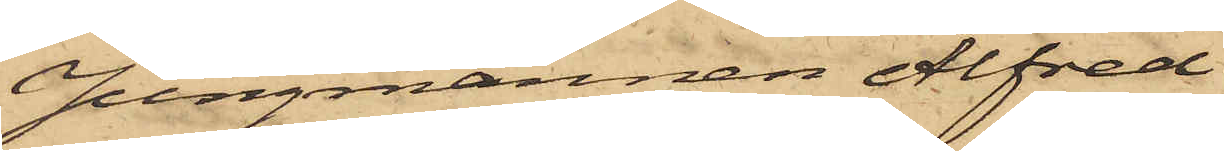Jungmannen Alfred
